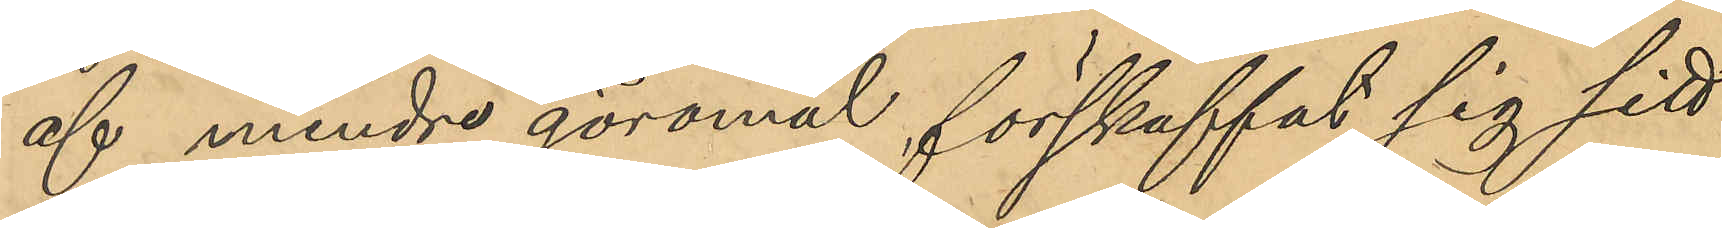af mindre göromål förskaffat sig sitt
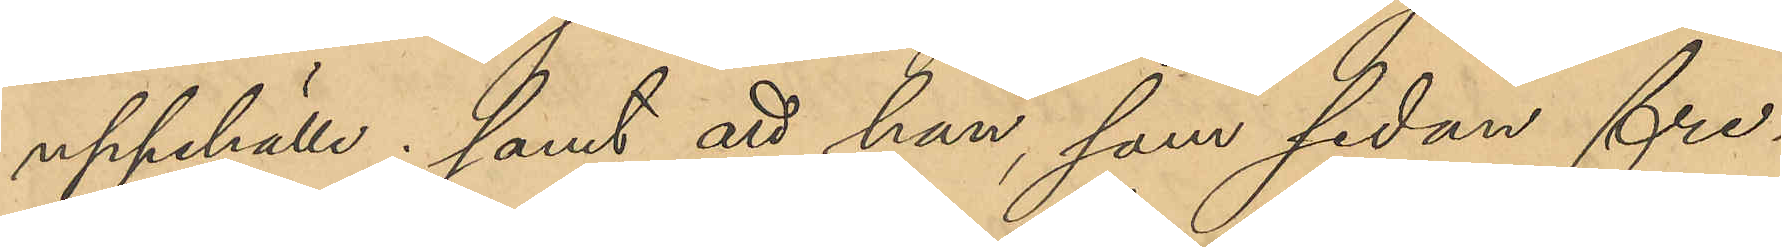uppehälle; samt att han, som sedan fre¬
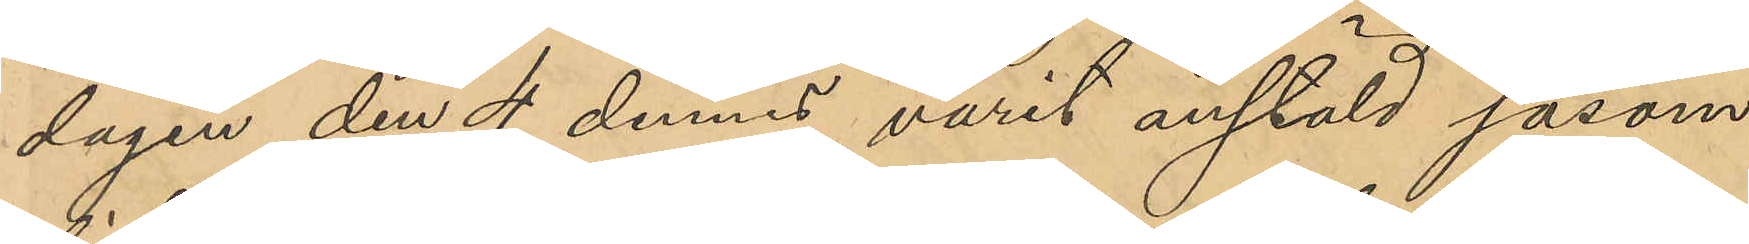dagen den 4 dennes varit anstäld såsom
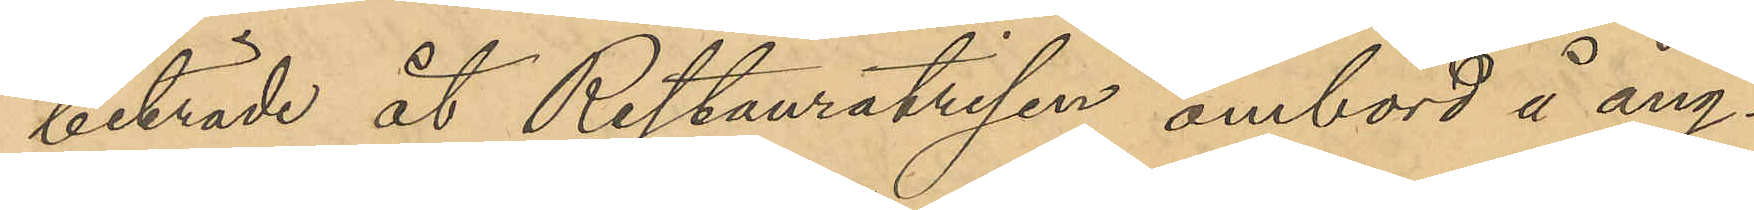biträde åt Restauratrisen ombord å ång¬
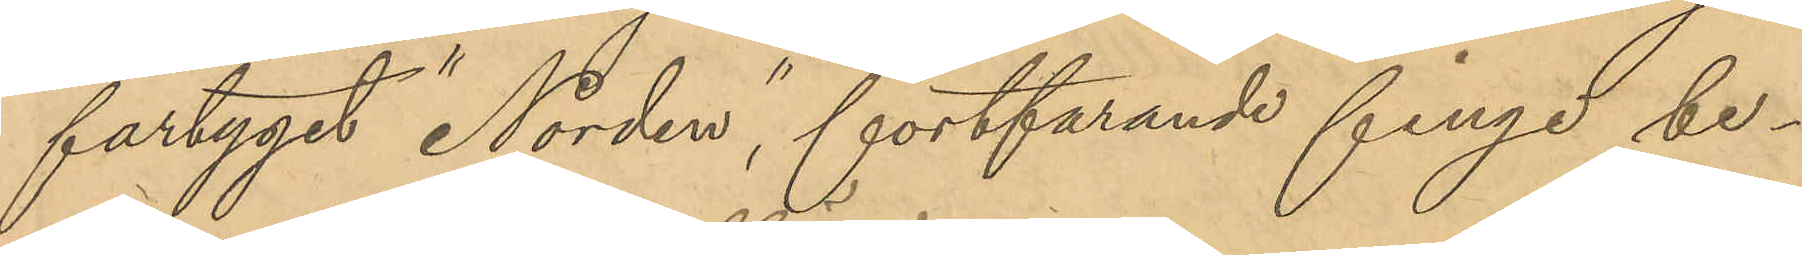fartyget "Norden", fortfarande finge be¬
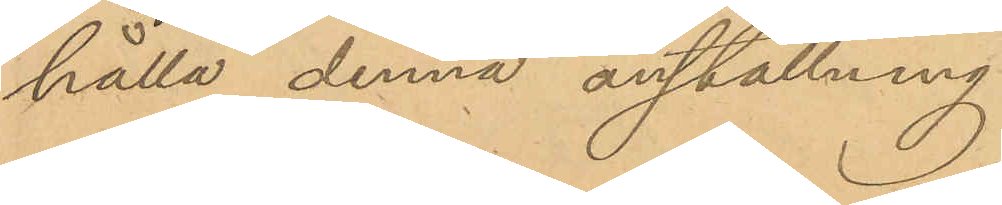hålla denna anställning.
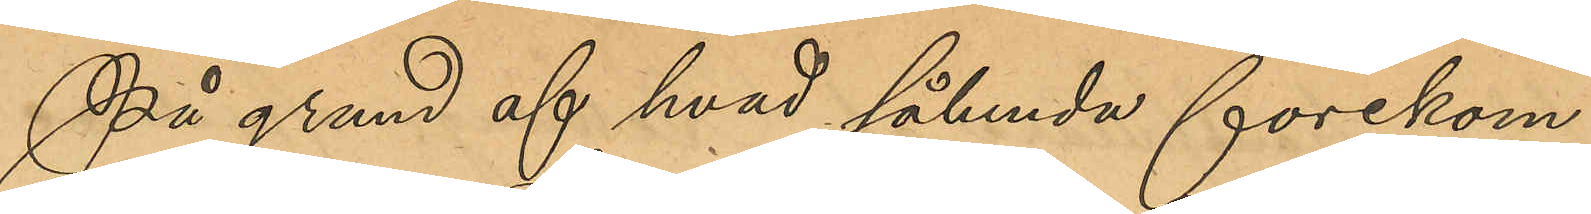På grund af hvad sålunda förekom¬
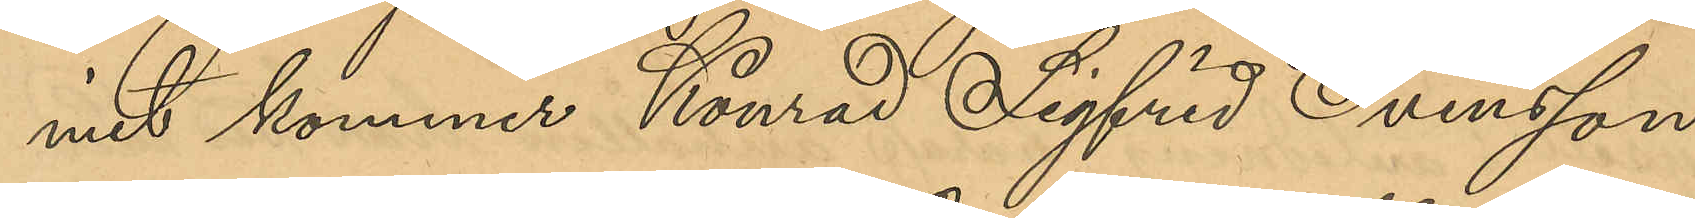mit kommer Konrad Sigfrid Svensson
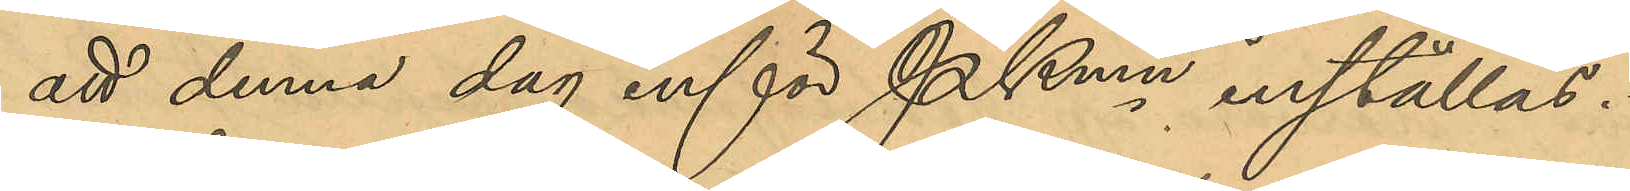att denna dag inför Pkmn inställas.
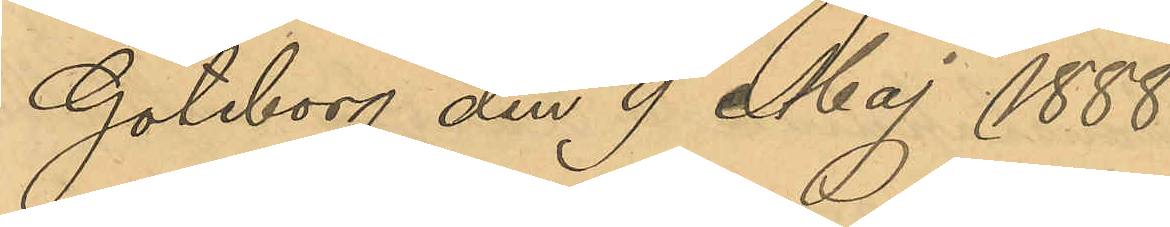Göteborg den 9 Maj 1888.
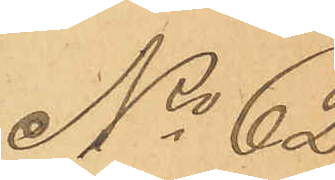No 62
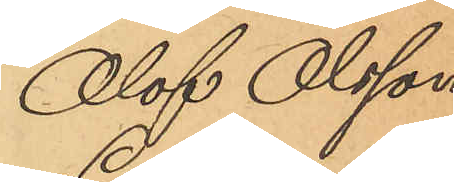Olof Olsson
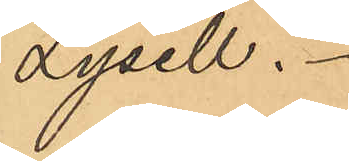Lysell.
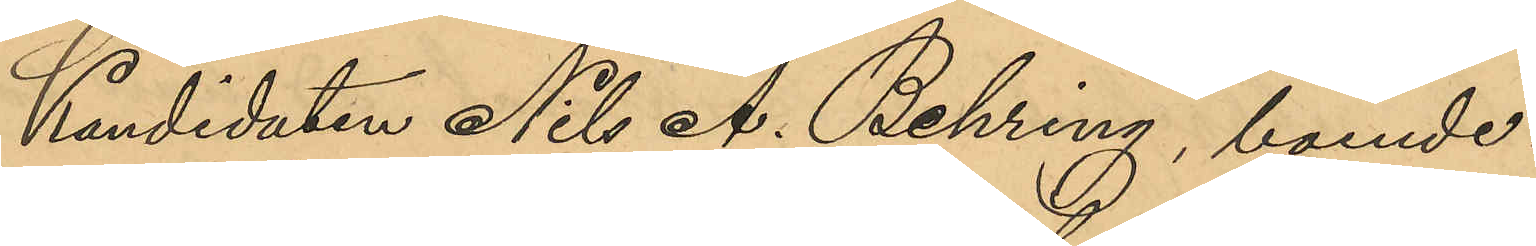Kandidaten NIls A. Behring, boende i
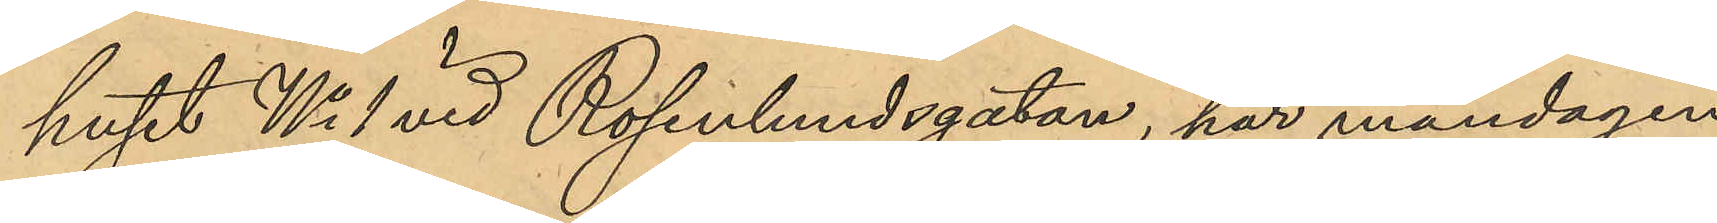huset No 1 vid Rosenlundsgatan, har måndagen
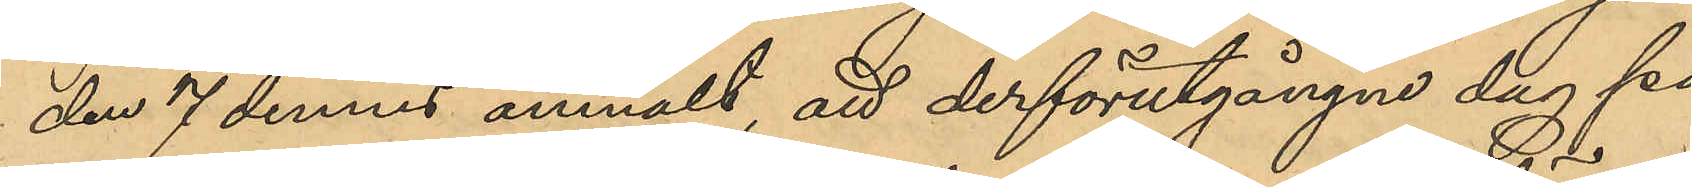den 7 dennes anmält, att derförutgångne dag på
